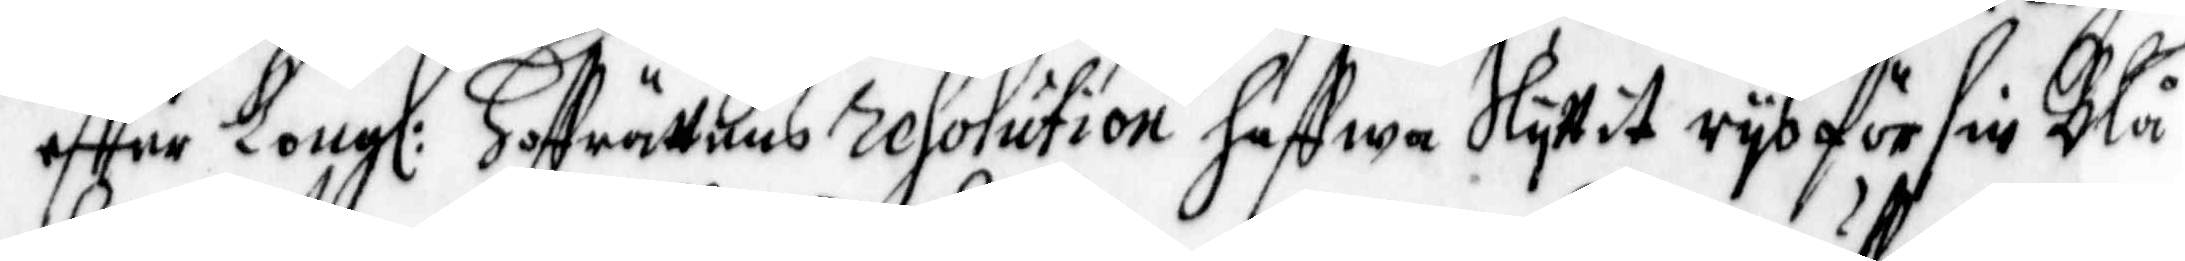effter Kongl: Hoffrättens resolution haffwa slyttit rys för sin Blå¬
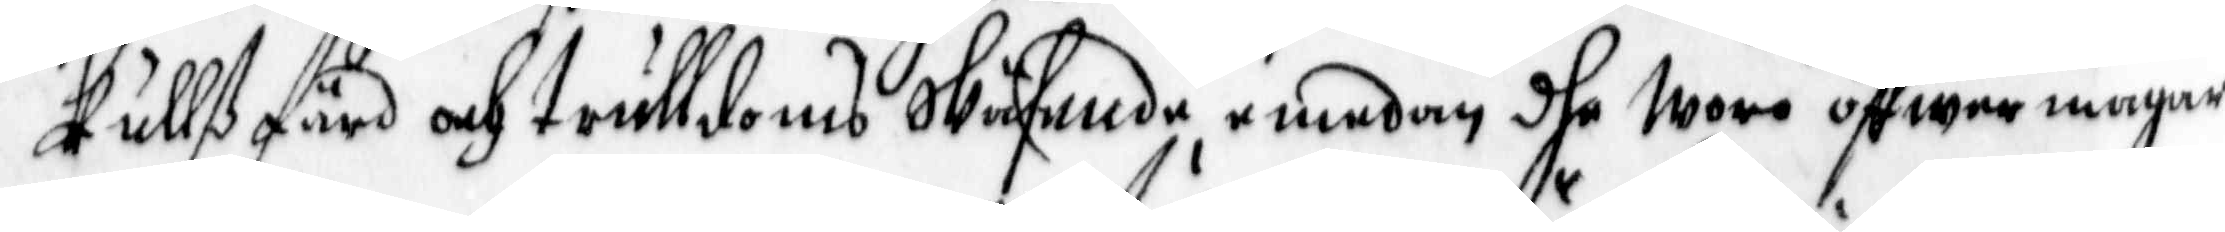kullß färd och trulldoms Wäsende emedan dhe woro öffwer magar,
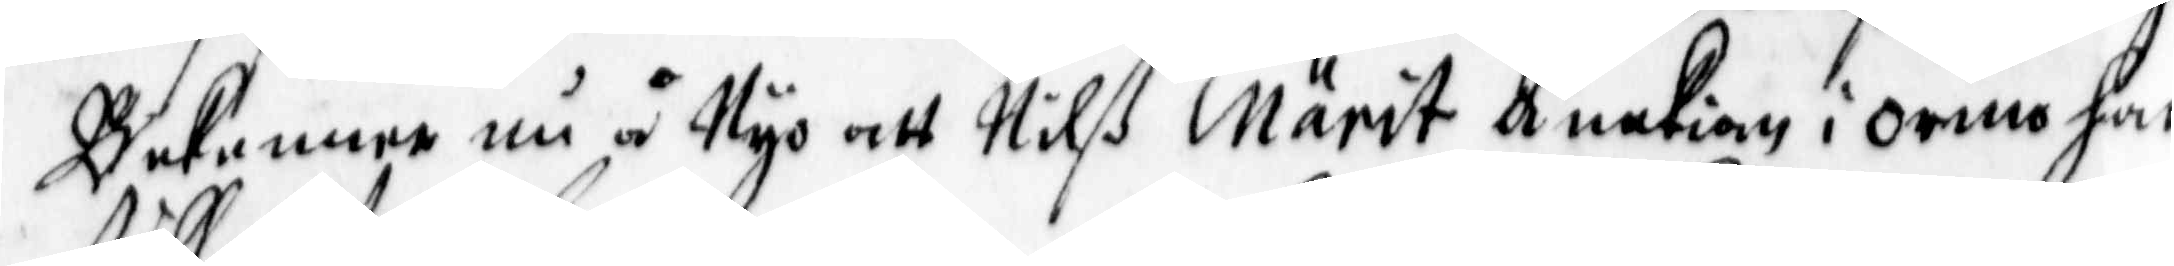bekenner nu å Nyo att Nilß Märit änkian i ormo har
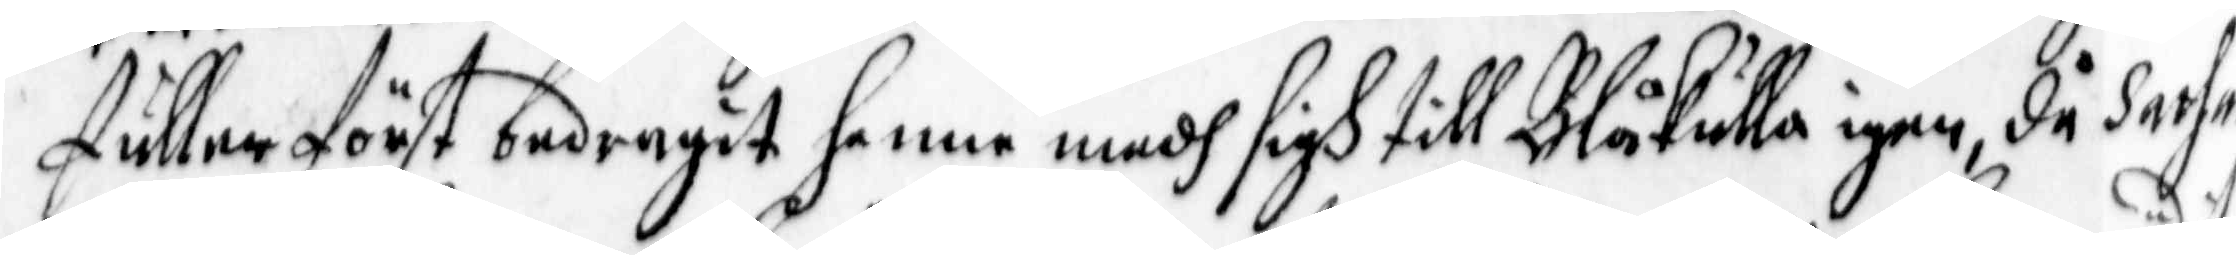fuller först bedragit henne medh sigh till Blåkulla igen, då Sathan
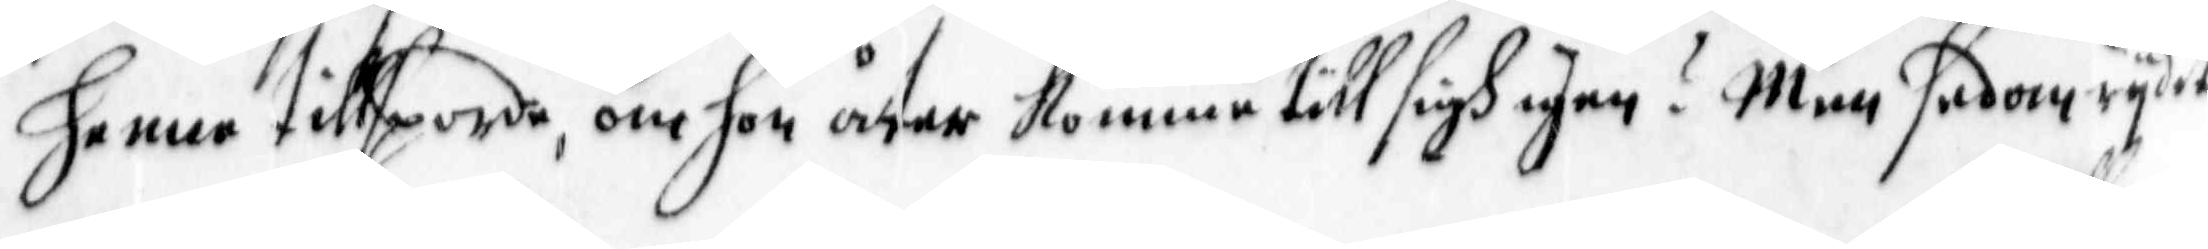henne tillsporde, om hon åter komme till sigh igen? men sedan rydit
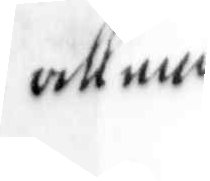allena
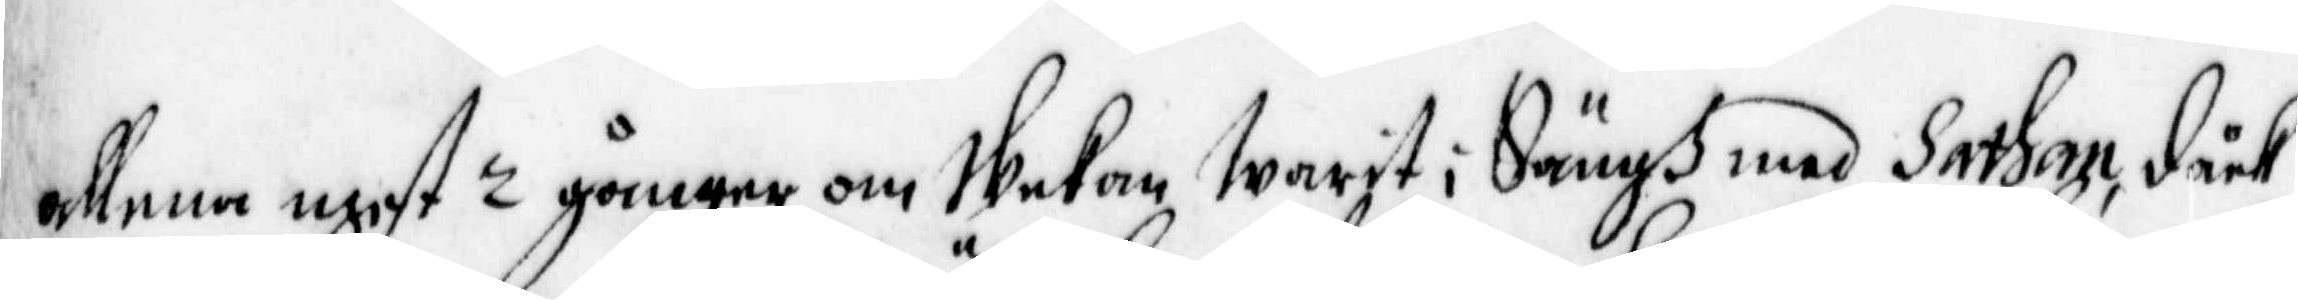allena mest 2 gånger om Wekan Warit i Sängß med Sathan, dåck
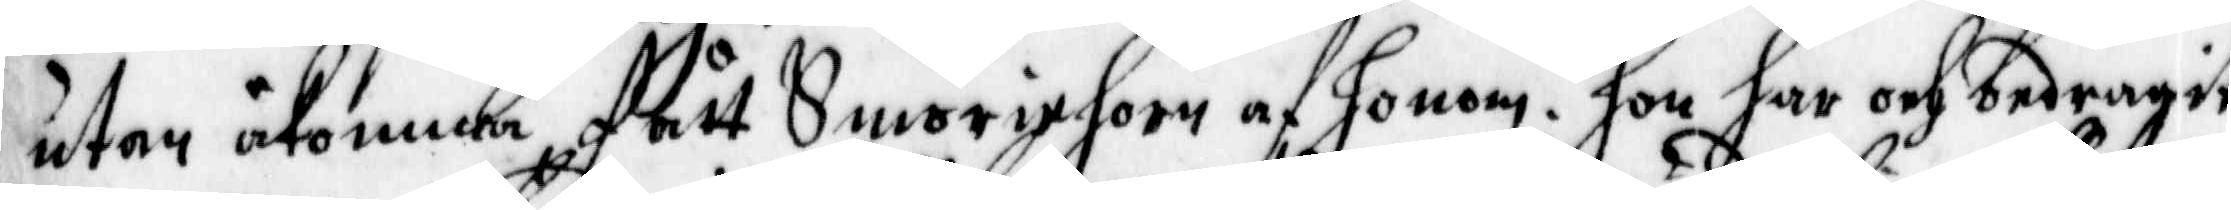utan åkomma, fått Smöriehorn af honom. Hon har och bedragit
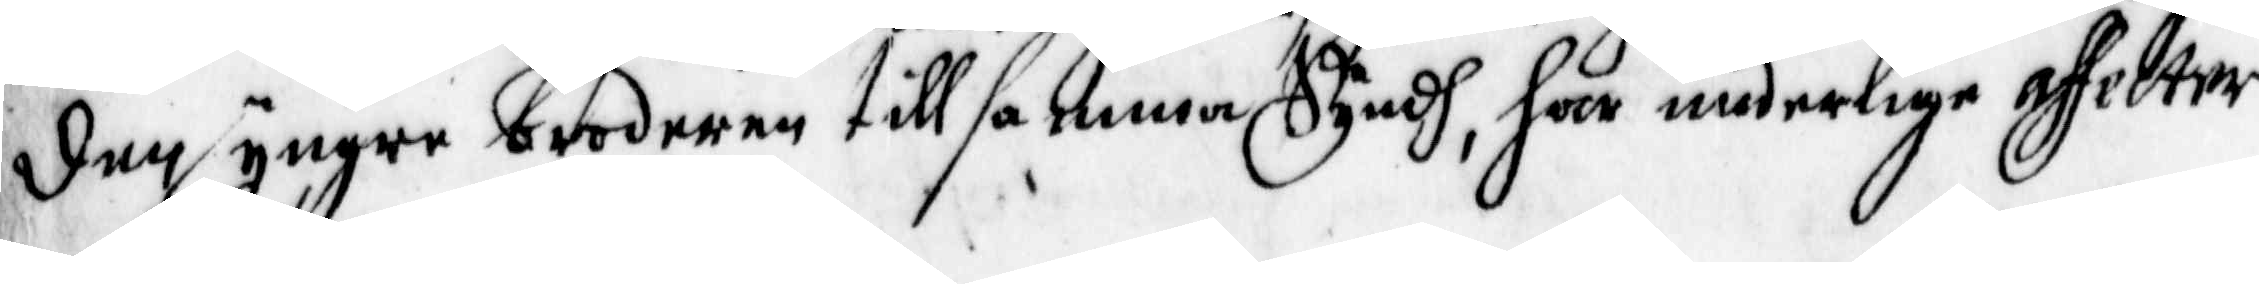den yngre brodern till samma Syndh, har underliga affecter
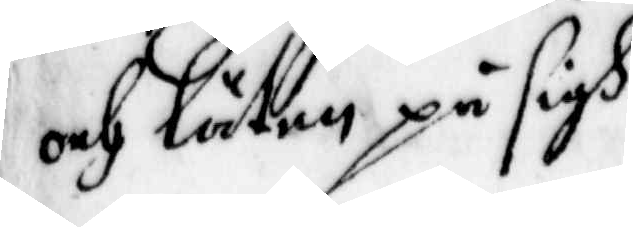och läthen på sigh.
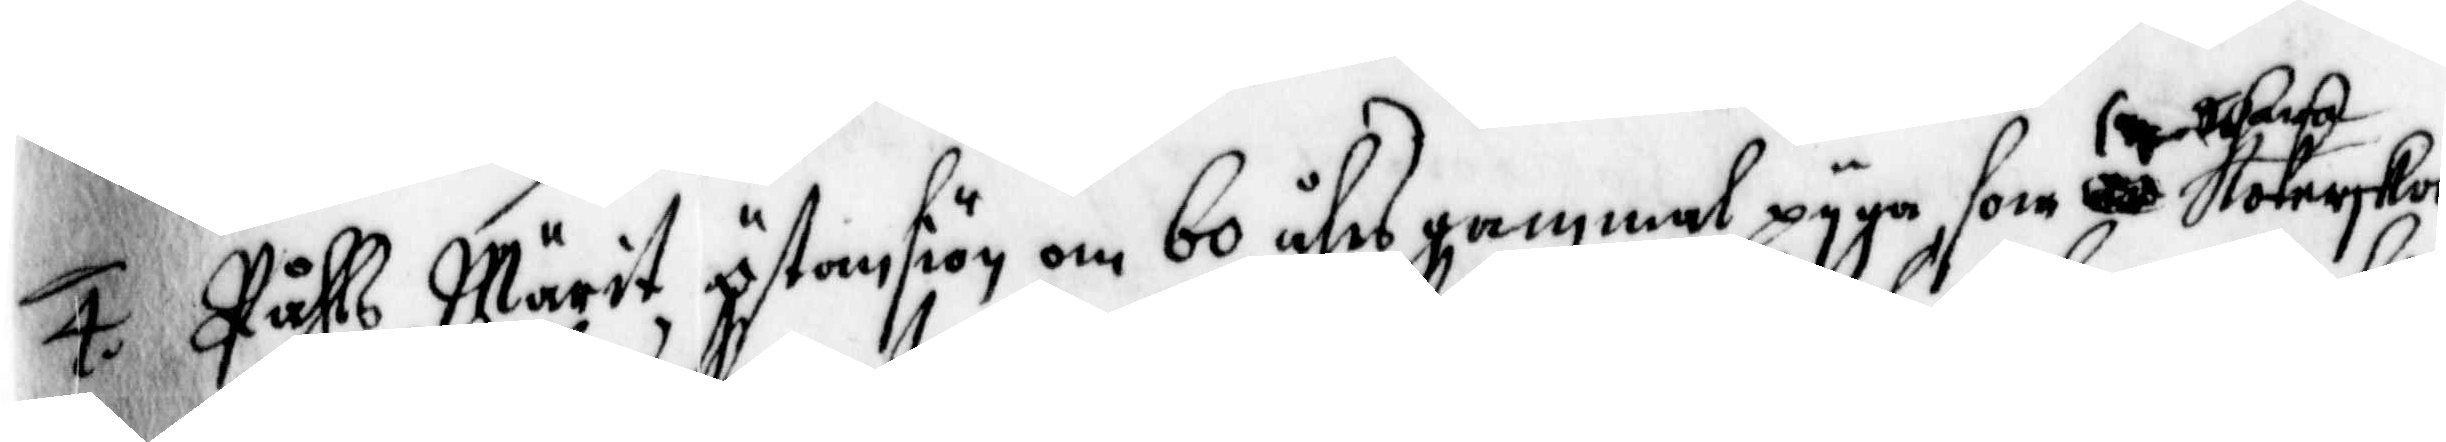4. Påhls Märit Östansiön om 60 åhrs gammal pyga, som kokerska
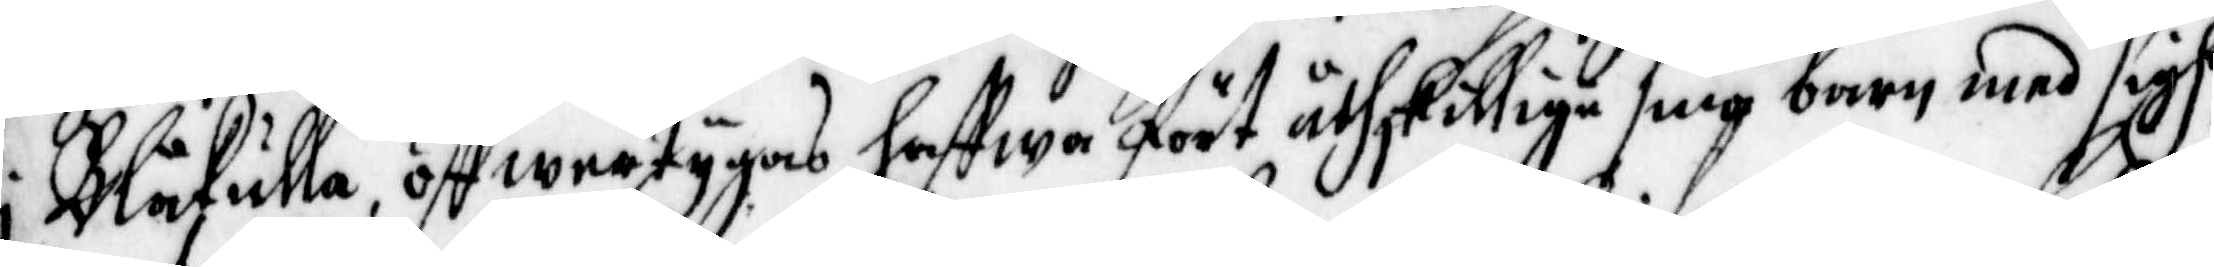i Blåkulla, öffwertygas haffwa fört åthskillige små barn mes sigh
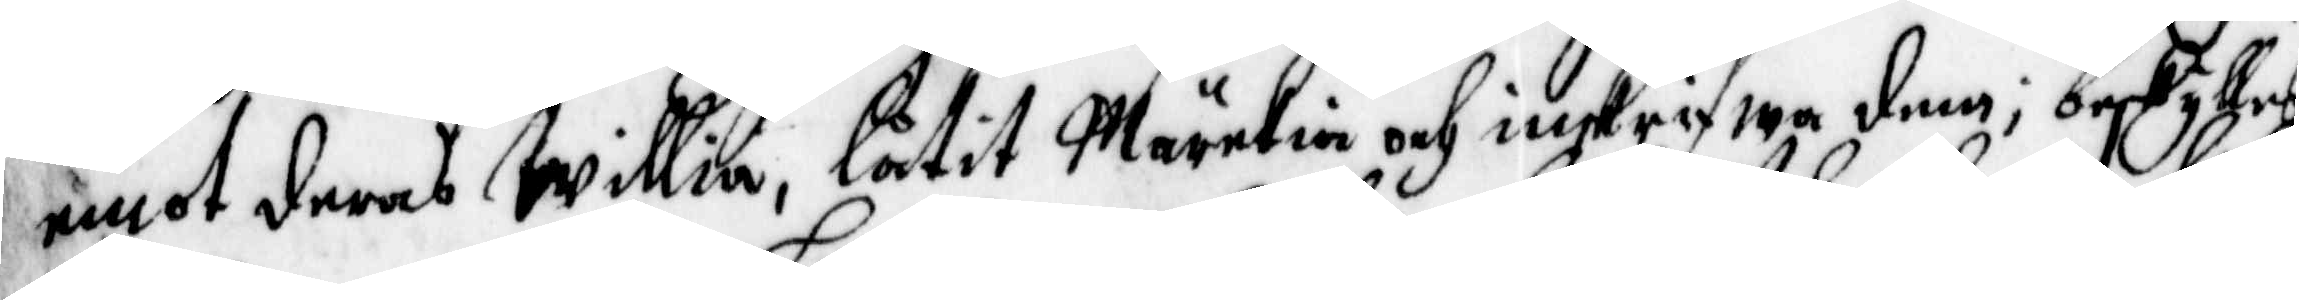emot deras willia, låtit Märckia och inskrifwa dem; beskylles
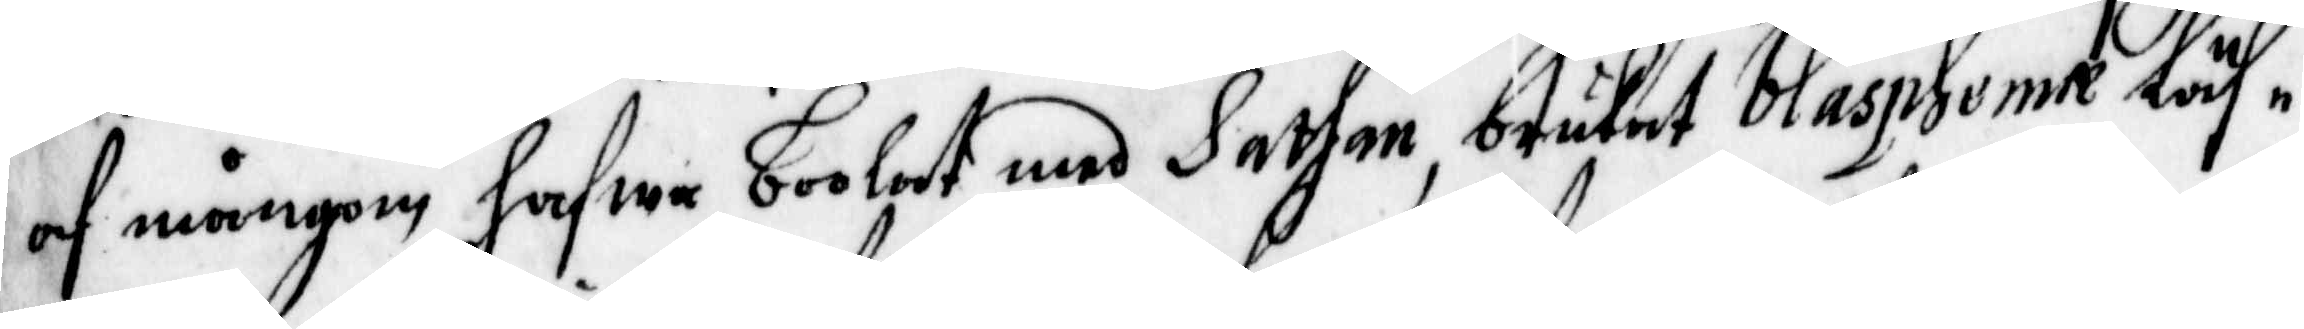af mångom hafwa boolat med Sathan, brukat blaspheme läs¬
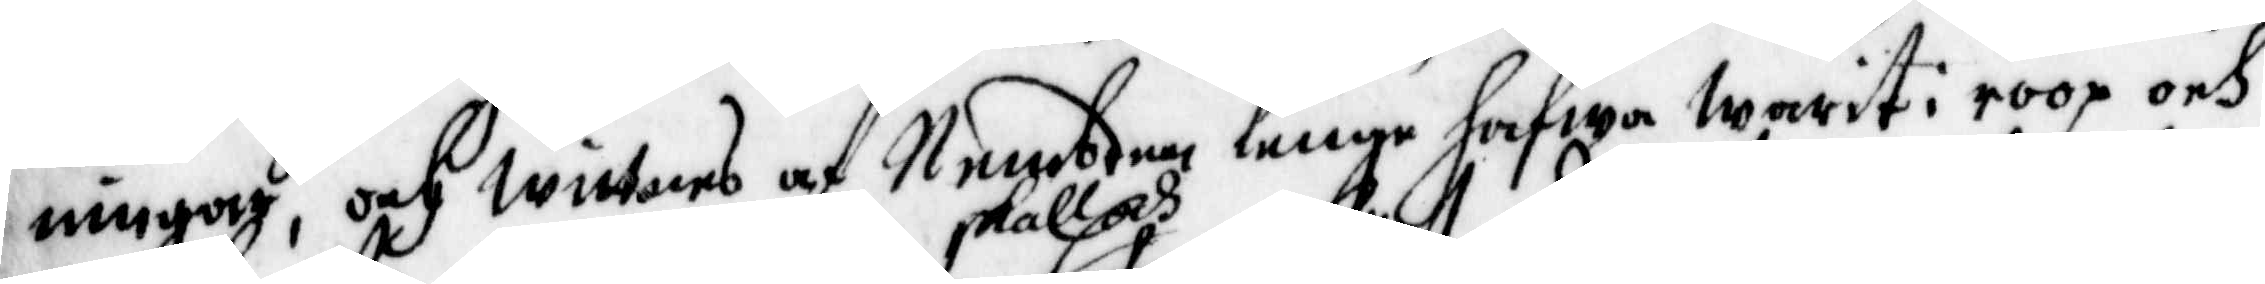ningar, och wittnes af Nembden lenge hafwa warit i roop och
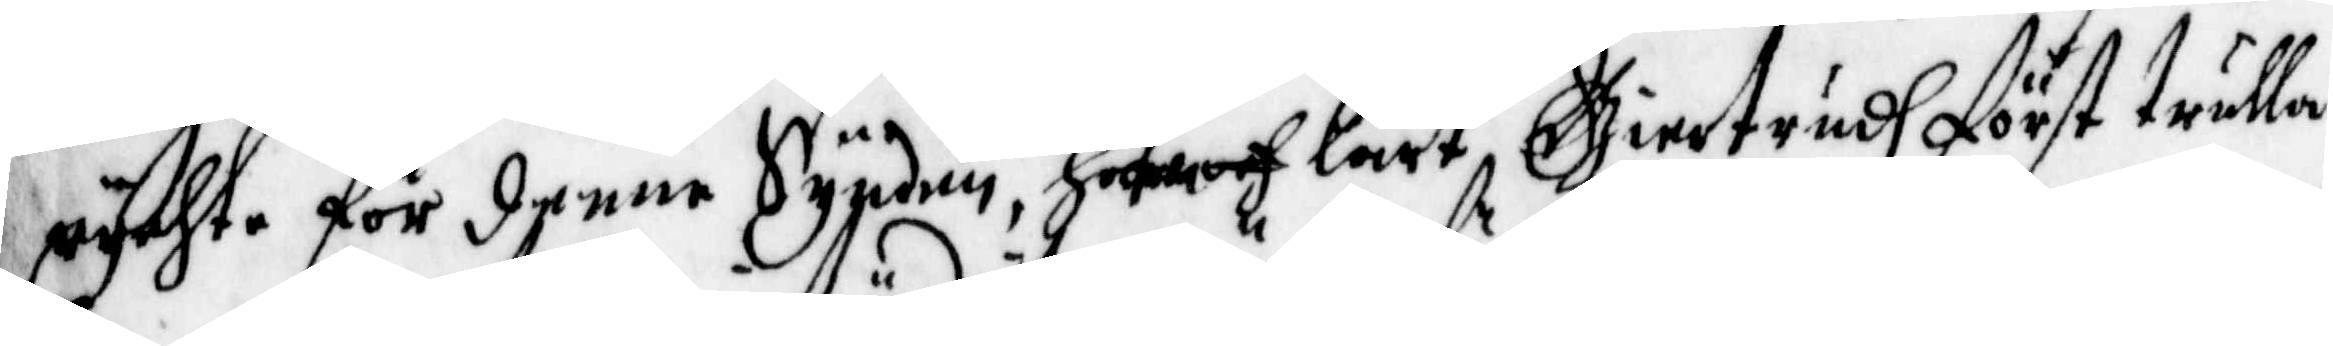rychte för denne Synden, skall och hafwa lärt, Giertrudh först trulla.
